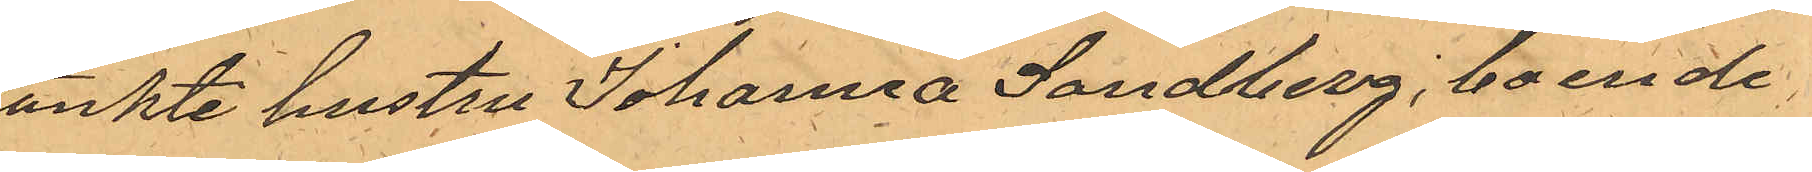tänkte hustru Johanna Sandberg, boende
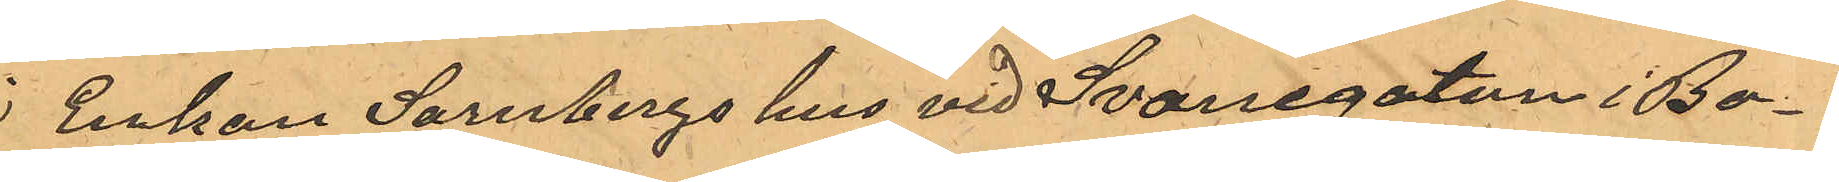i Enkan Sarnbergs hus vid Svanegatan i Bo¬
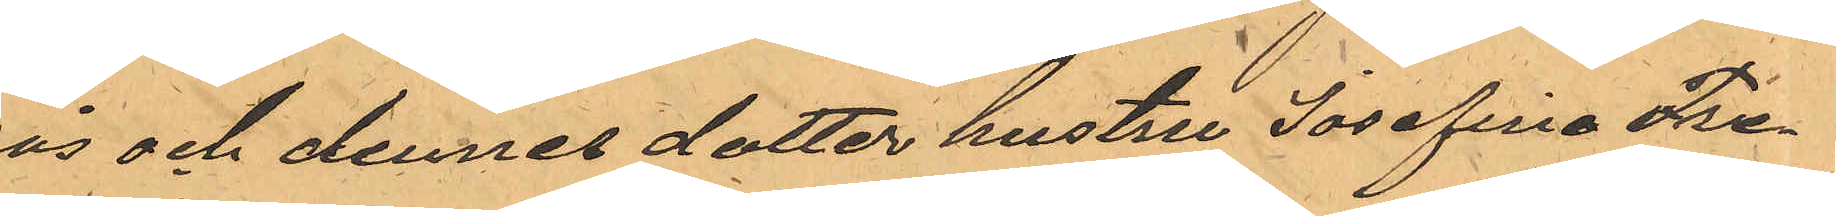rås och dennes dotter hustru Josefina Fre¬
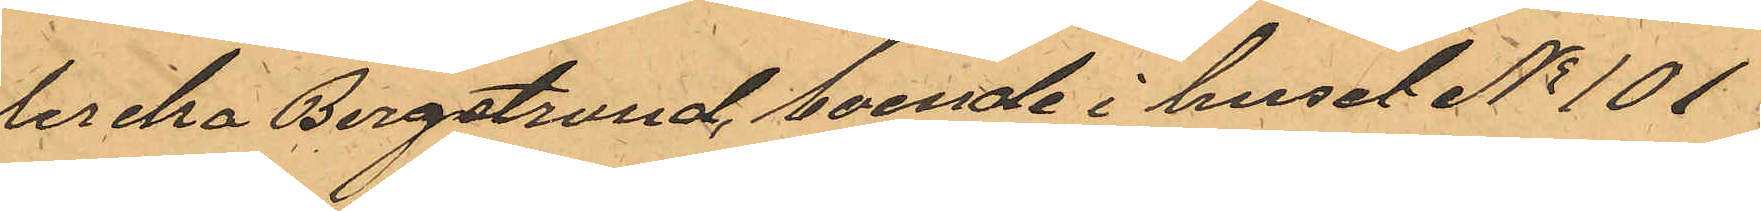derika Bergstrand, boende i huset No 101
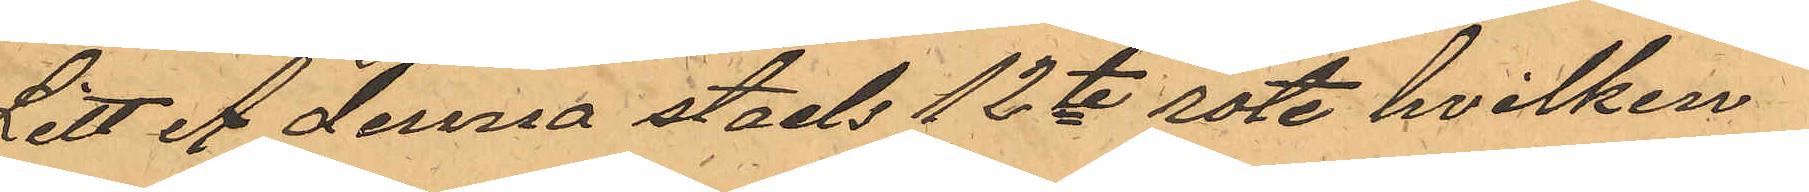Litt A denna stads 12te rote, hvilken
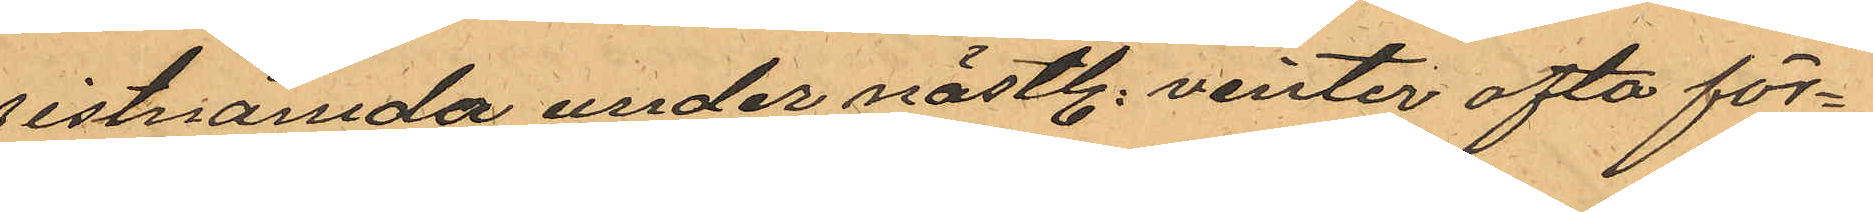sistnämda under nästl. vinter ofta för¬
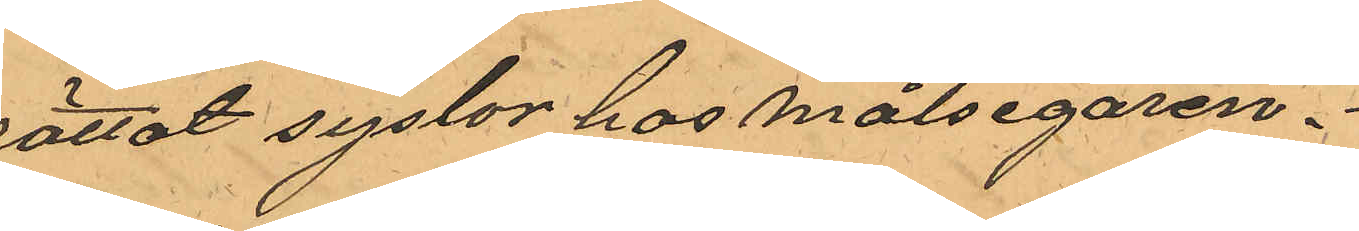rättat syslor hos målsegaren.
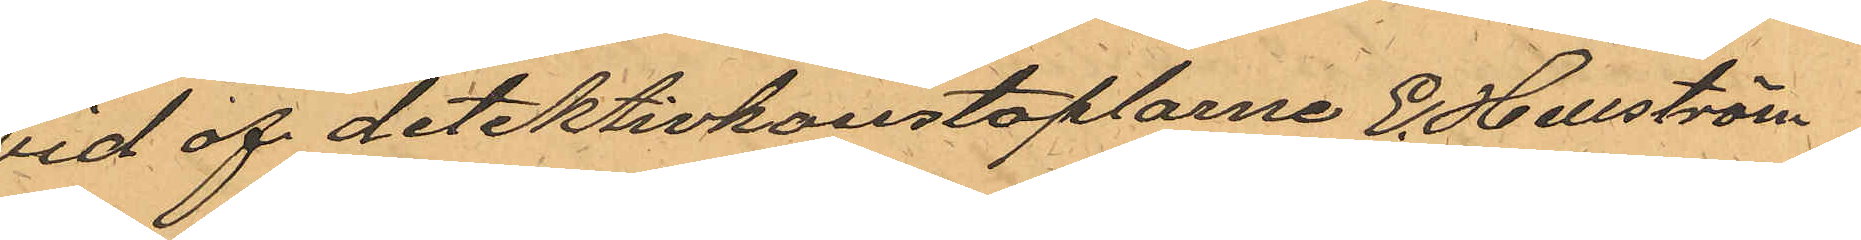Vid af detektivkonstaplarne E. Hellström
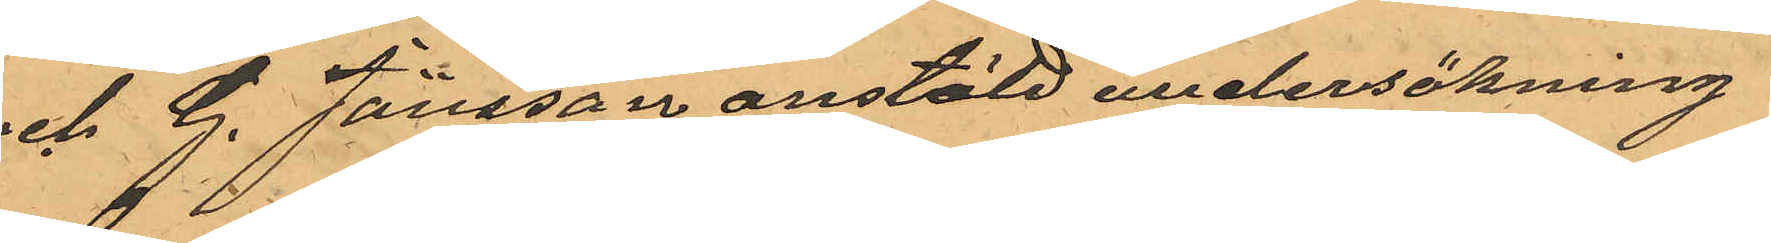och G. Jönsson anstäld undersökning
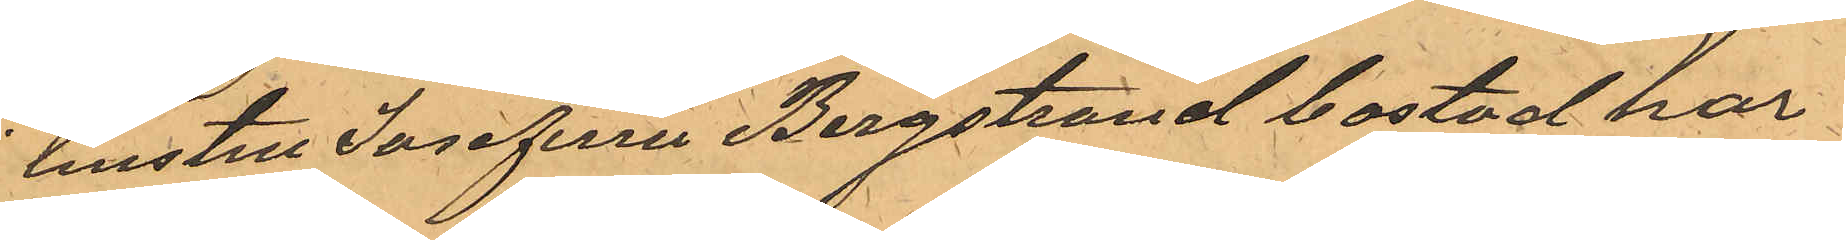i hustru Josefina Bergstrand bostad har
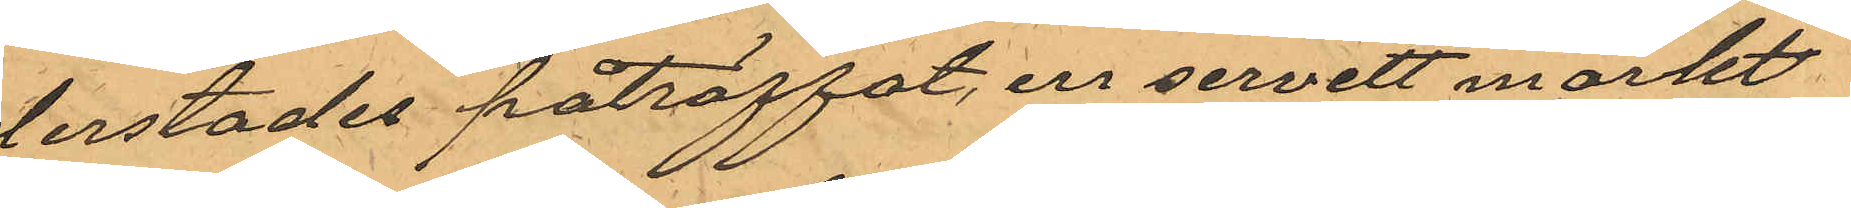derstädes påträffat, en servett märkt
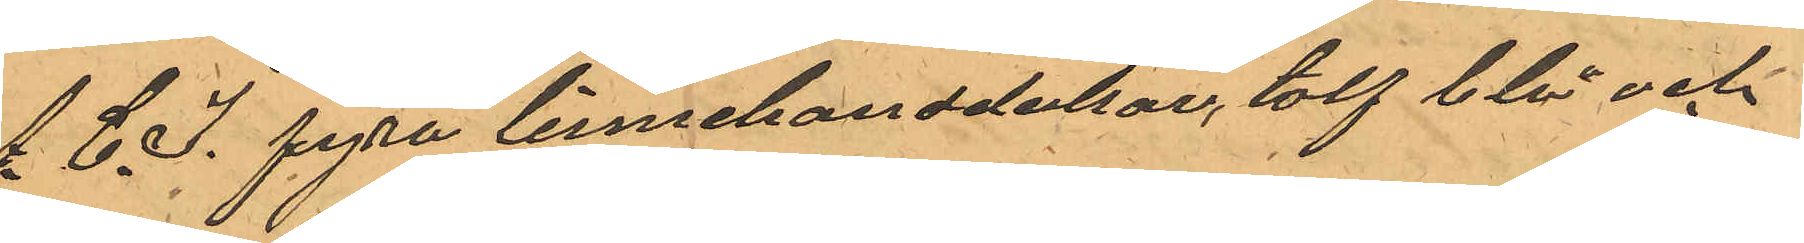A. C. J. fyra linnehanddukar, tolf blå och
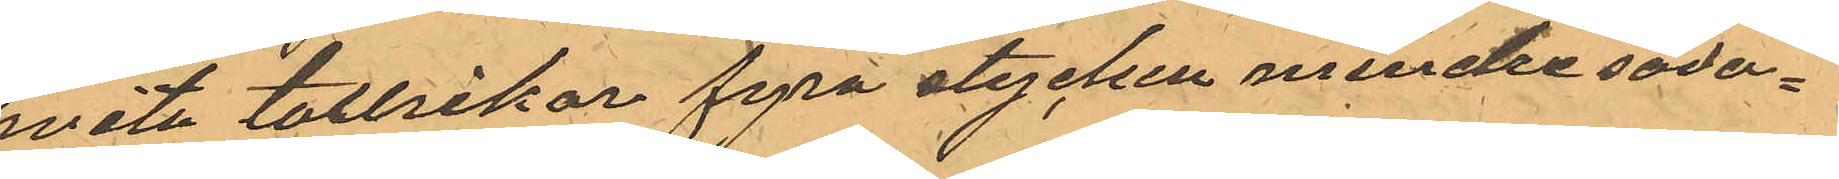hvita tallrikar fyra stycken mindre såda¬
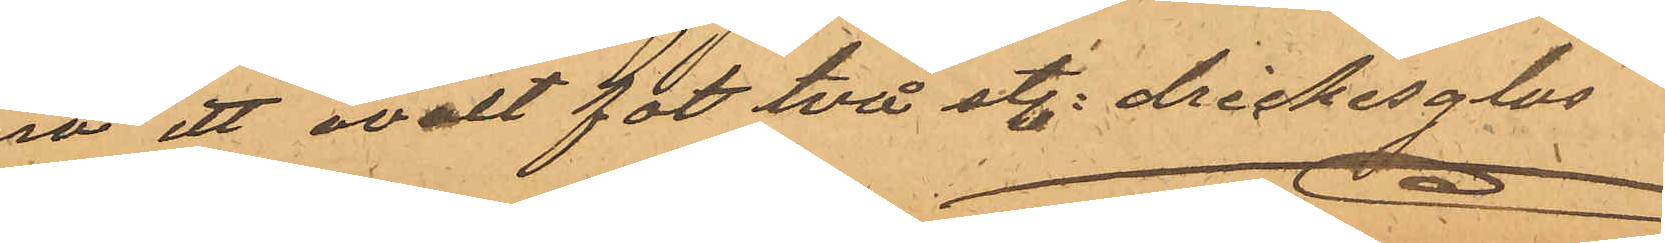na ett ovalt fat två st. drickesglas
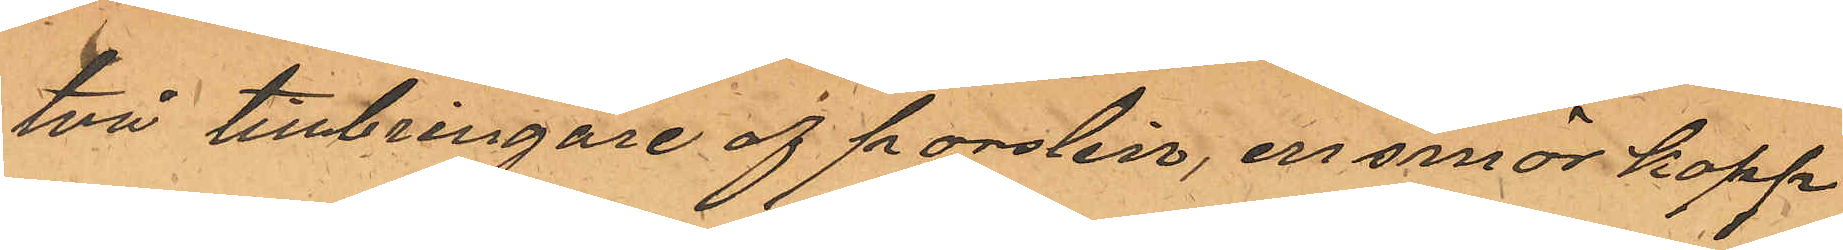två tillbringare af porslin, en smör kopp
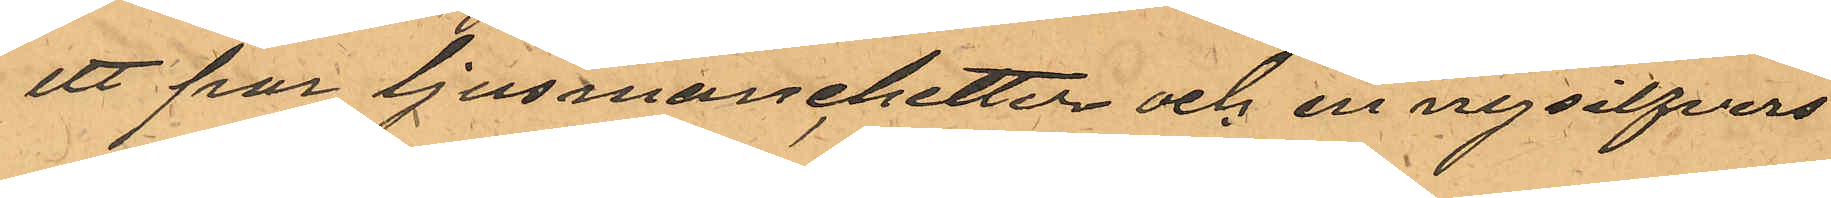ett par ljusmanchetter och en nysilfvers
